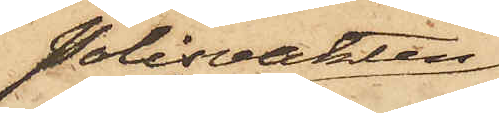Polisvakten
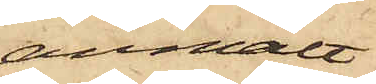anmält
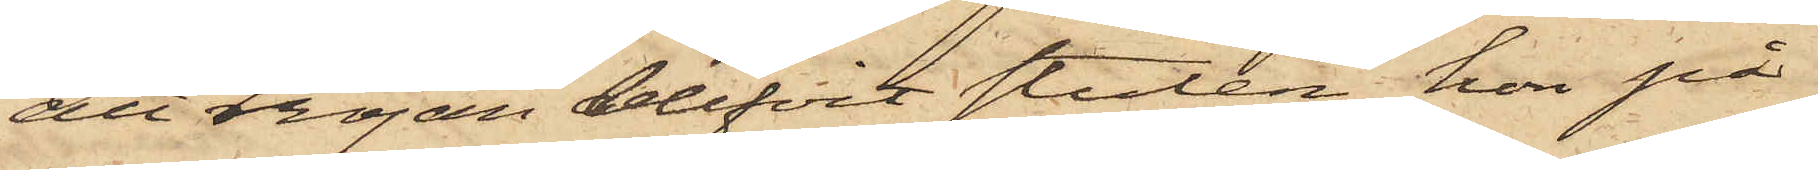att tröjan blifvit stulen hon på
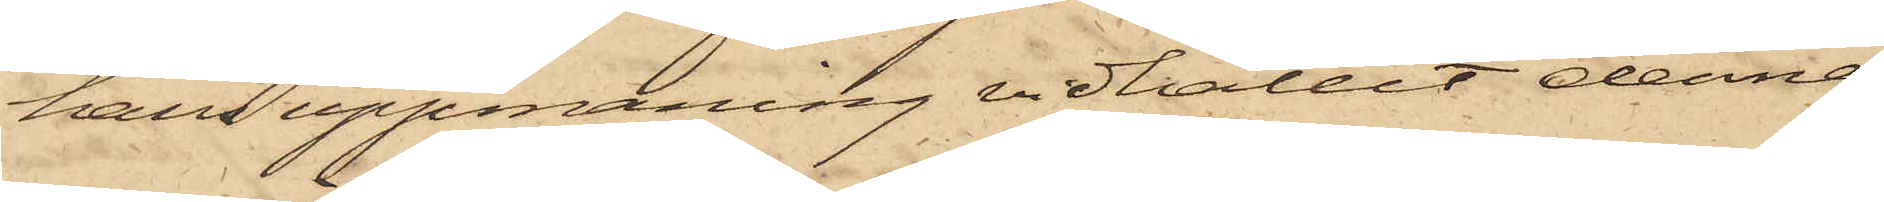hans uppmaning vidhållit denna
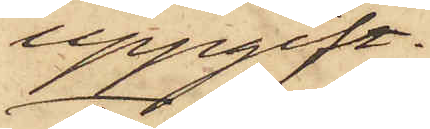uppgift.
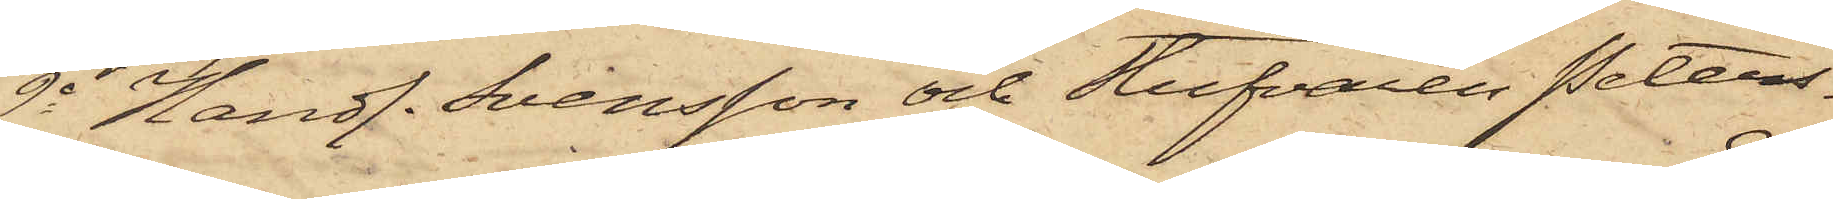2o Handl. Svensson och Stufvaren Peters¬
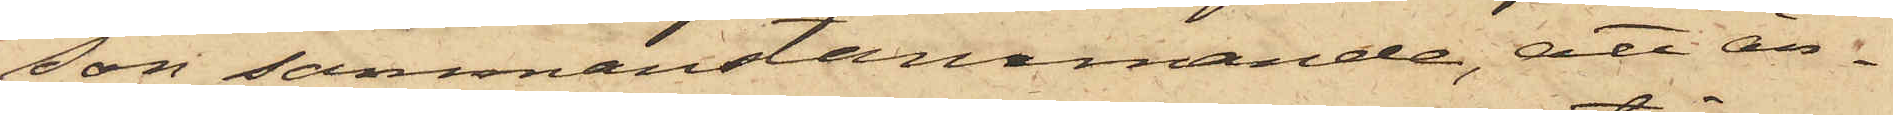son sammanstämmande, att än¬
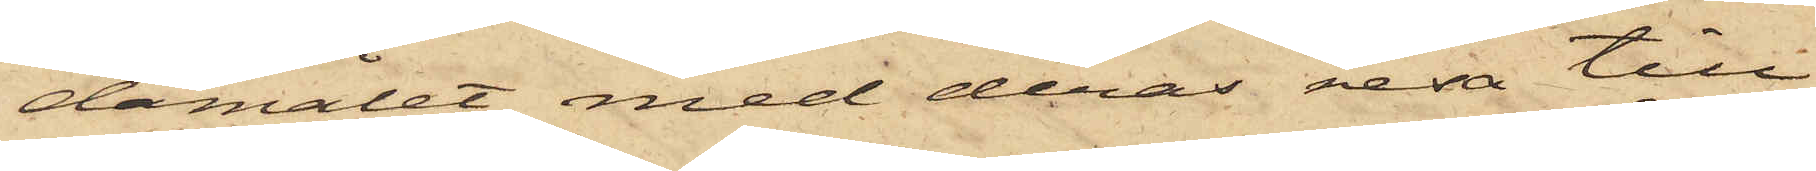damålet med deras resa till
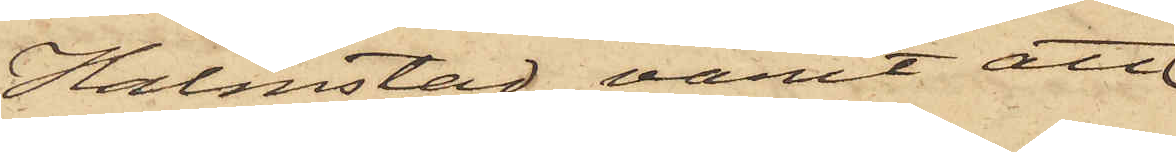Halmstad varit att
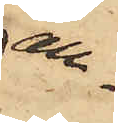an¬
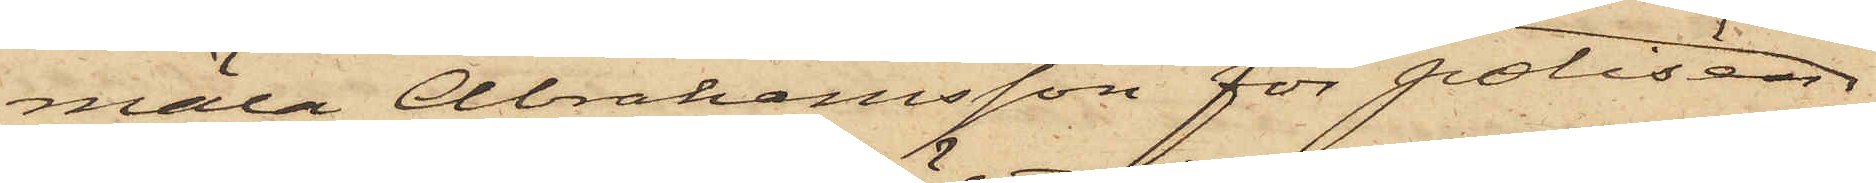mäla Abrahamsson för polisen
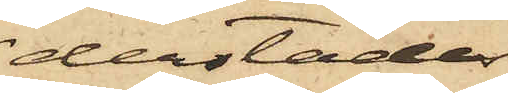derstädes
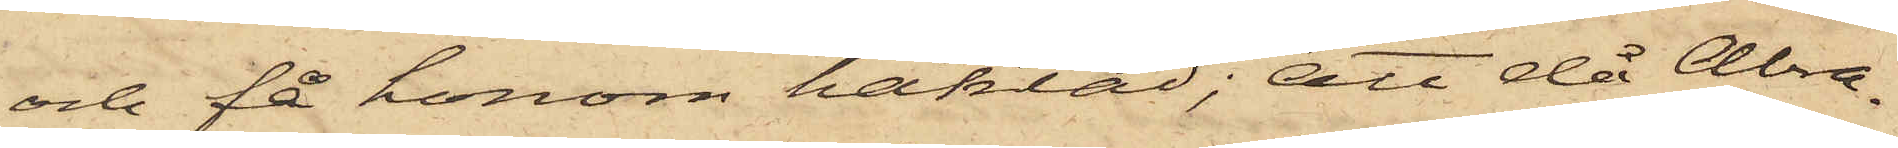och få honom häktad; att då Abra¬
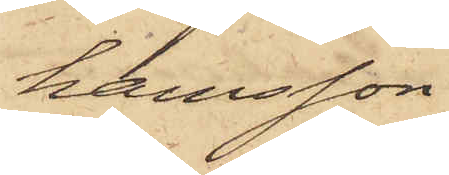hamsson
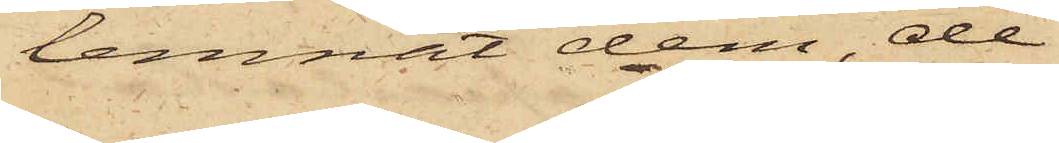lemnat dem, de
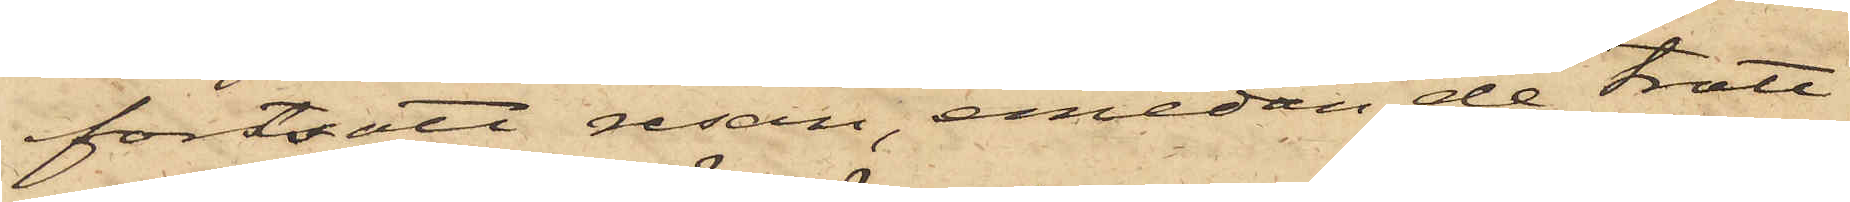fortsatt resan, emedan de trott
